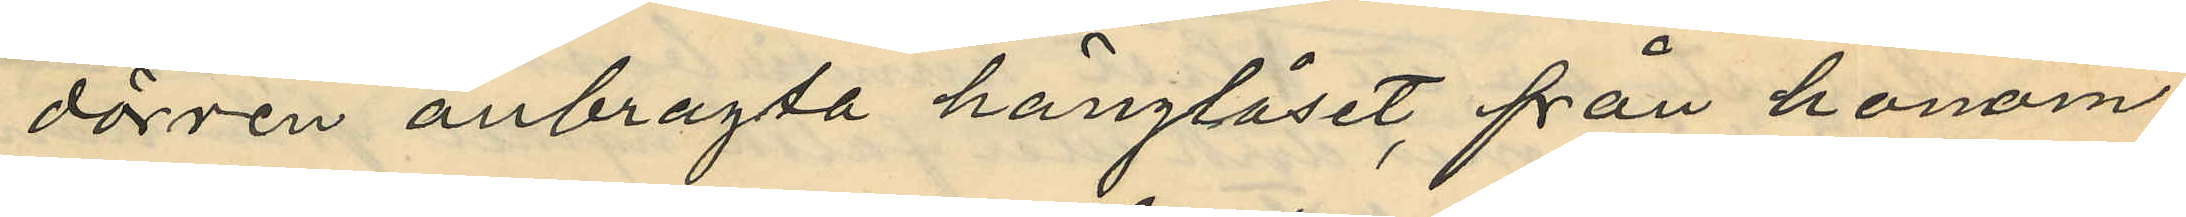dörren anbragta hänglåset, från honom
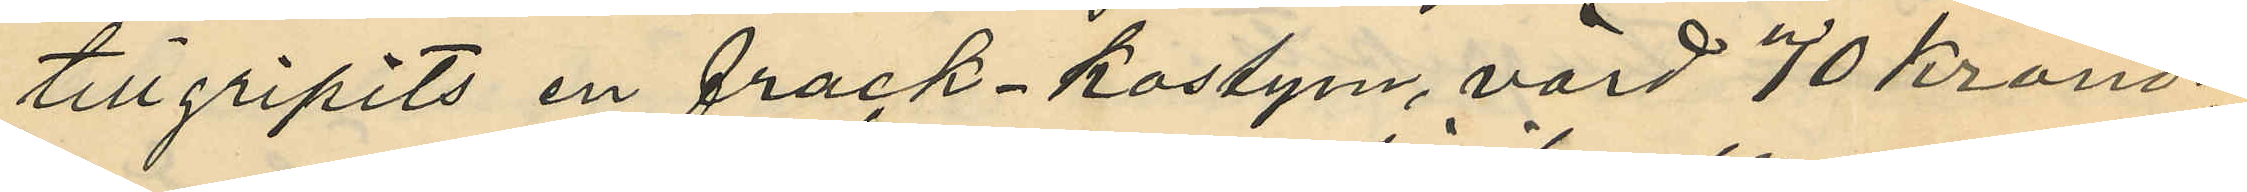tillgripits en frack-kostym, värd 70 kronor.
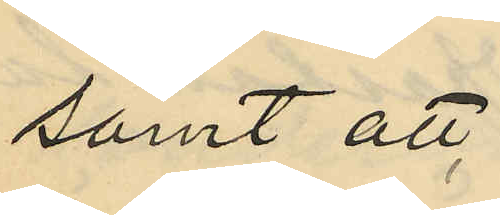samt att
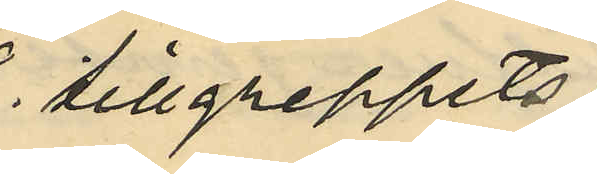tillgreppets
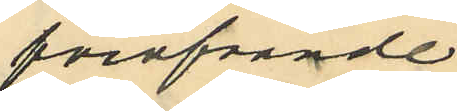föröfvande
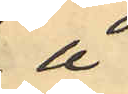å
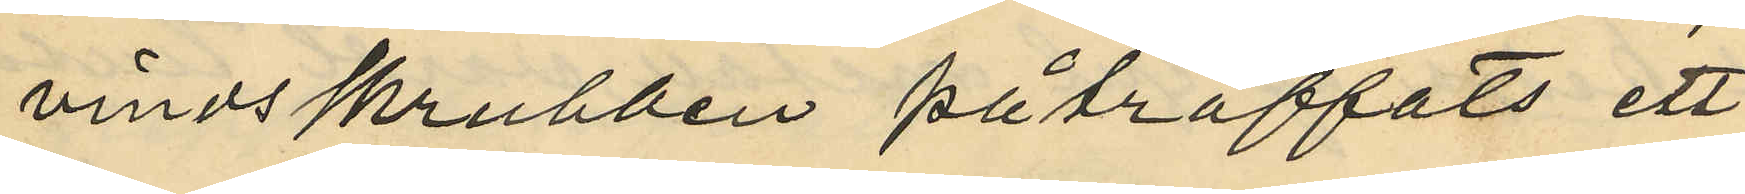vindsskrubben påträffats ett
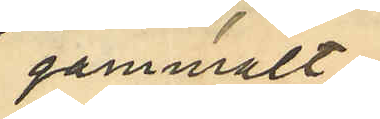gammalt
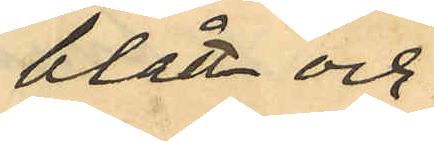blått och
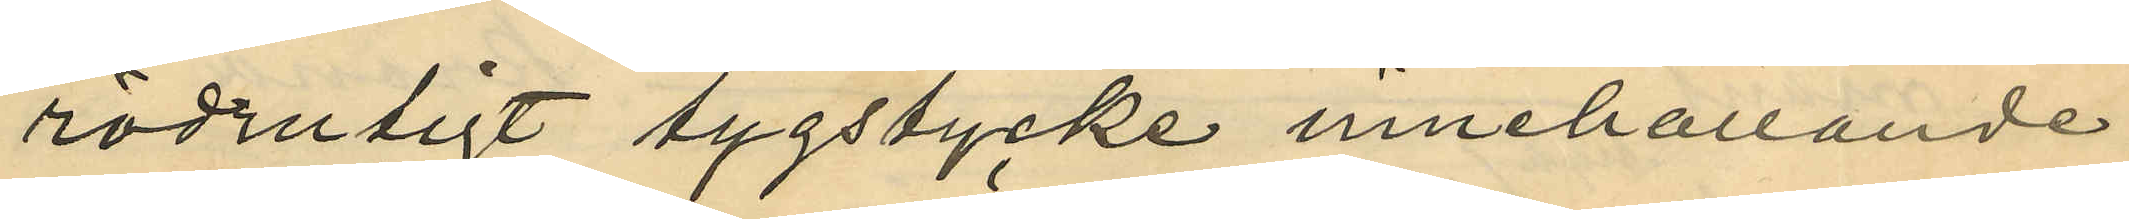rödrutigt tygstycke innehållande
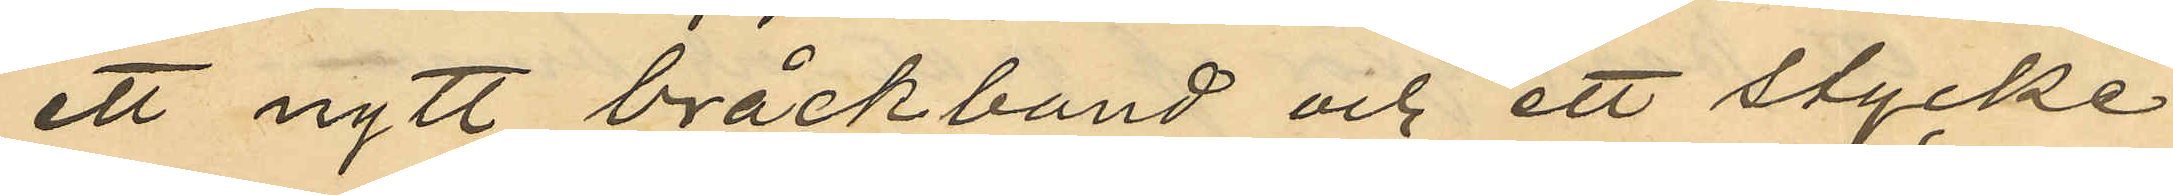ett nytt bråckband och ett stycke
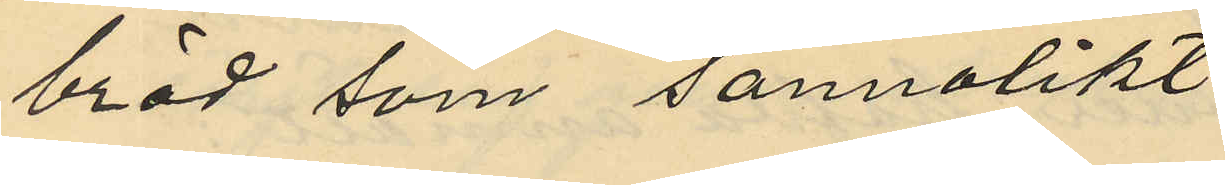bröd som sannolikt
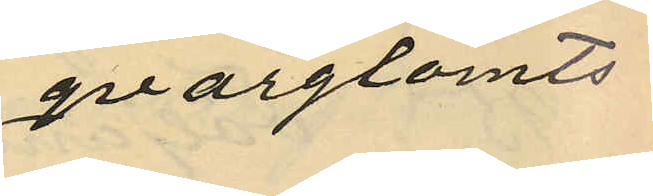qvargglömts
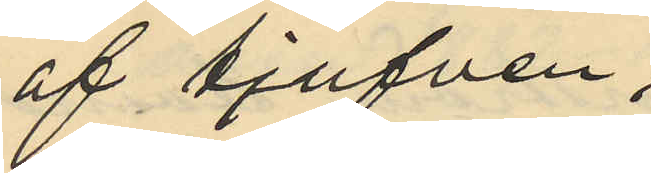af tjufven.
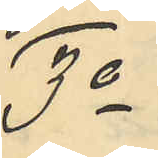3o
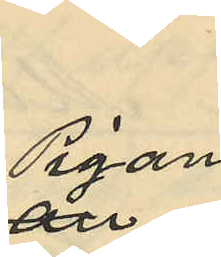Pigan
